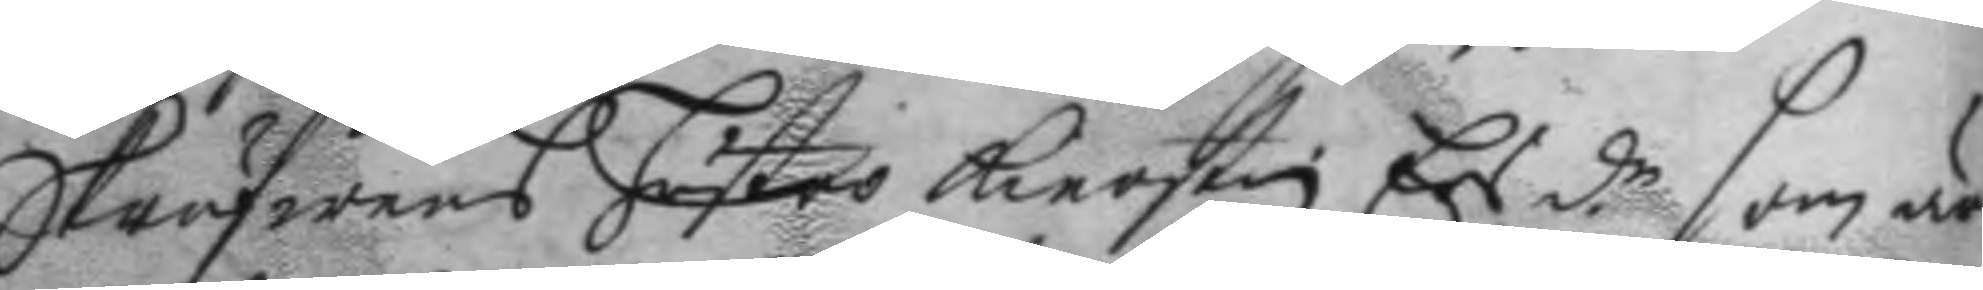Skrufwens hustro Kierstin Ers d.r som är
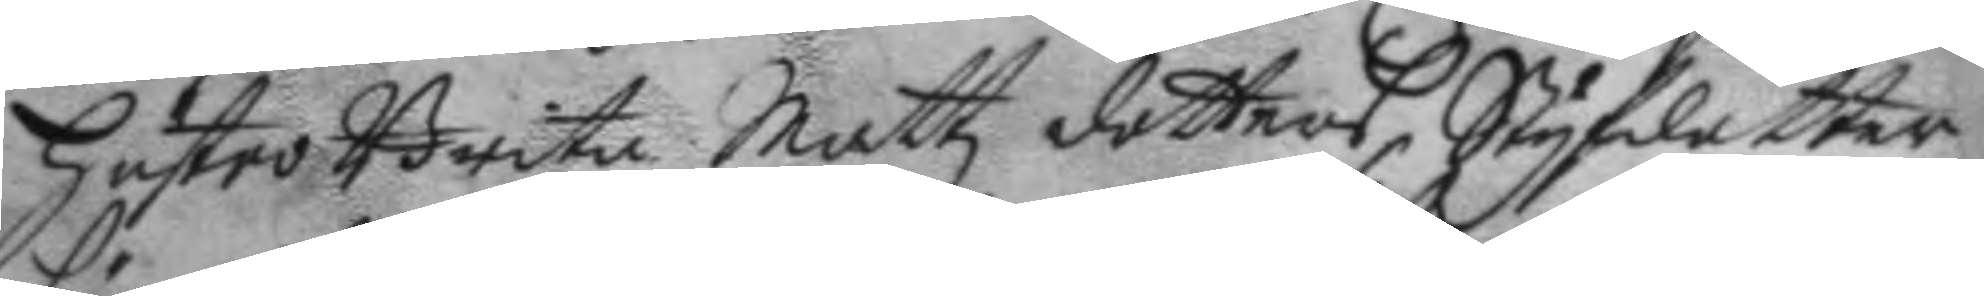hustro Brita Mattz dotters Styfdotter,
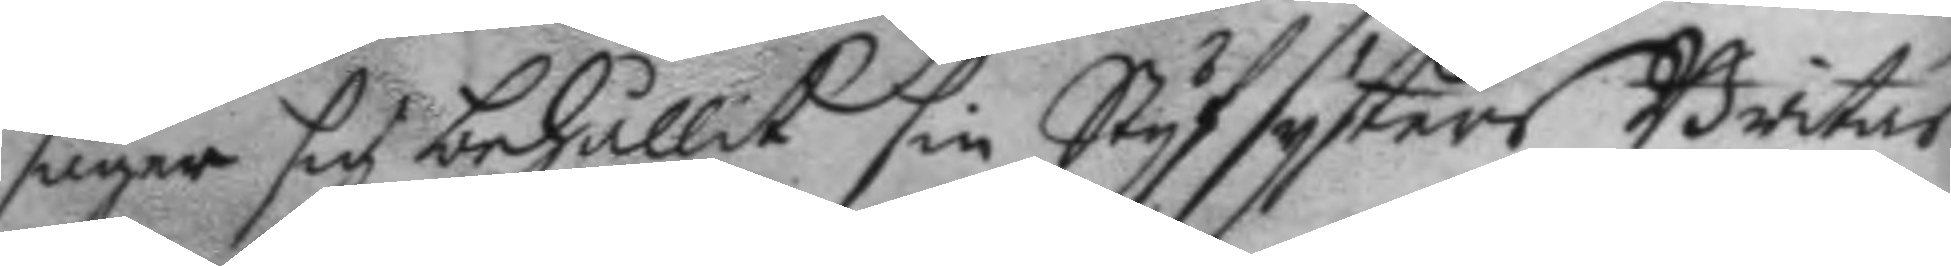säger sig behållit sin Styfsysters Britas
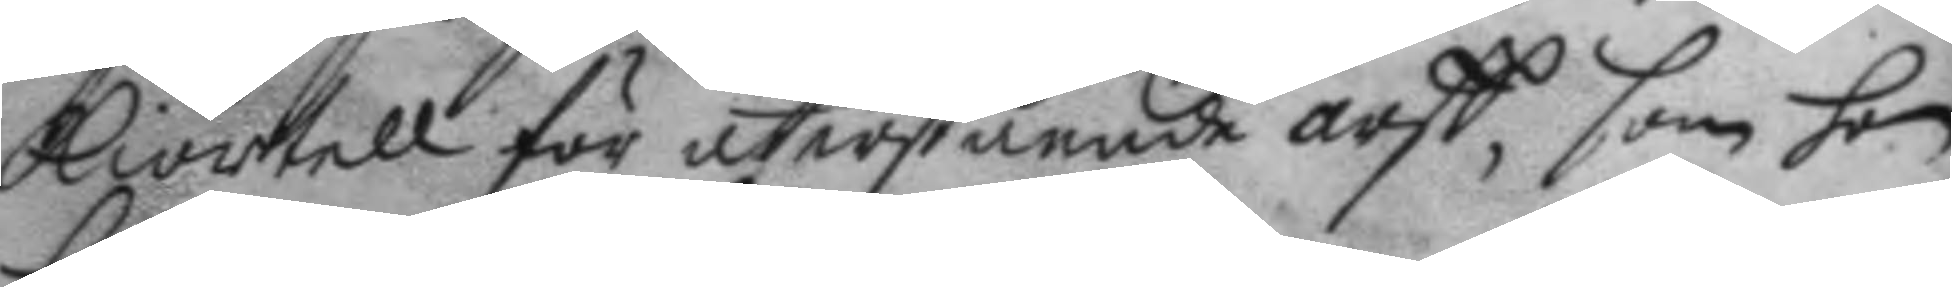kiortell för utestående arff, som hon
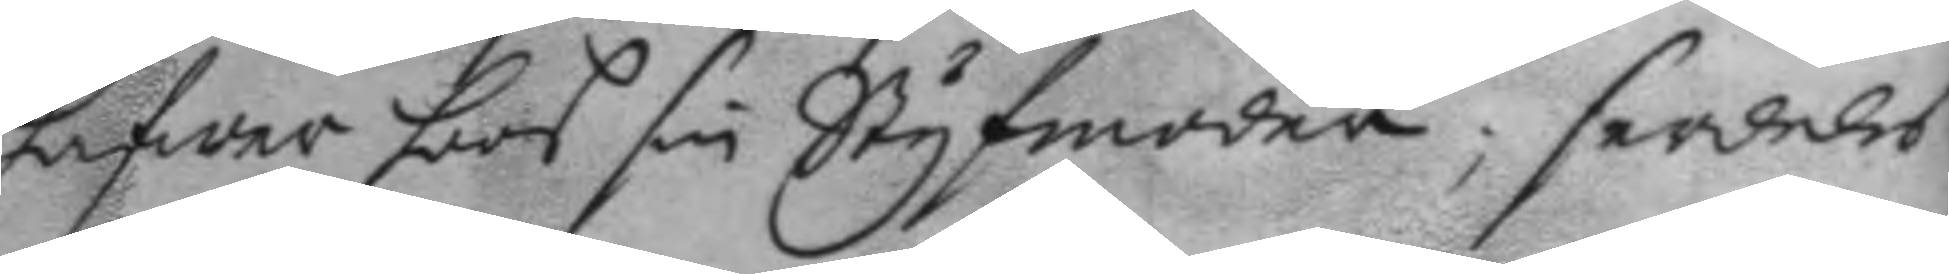hafwer hoos sin Styfmoder; serdeles
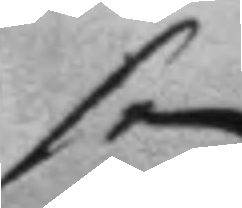som
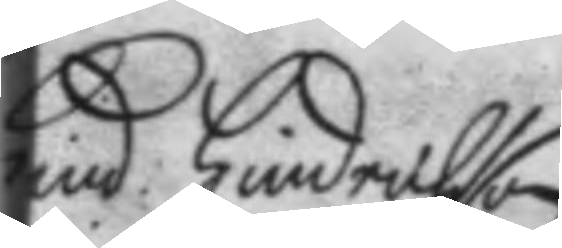Hind. Hindrichson
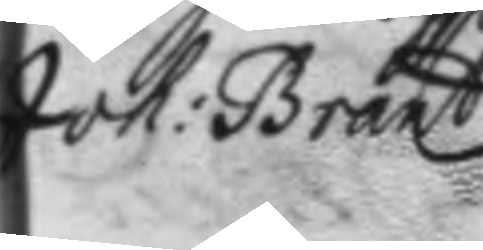Joh: Brant.
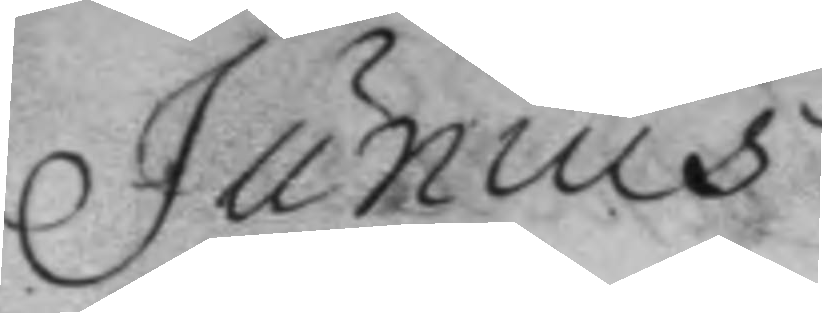Junius
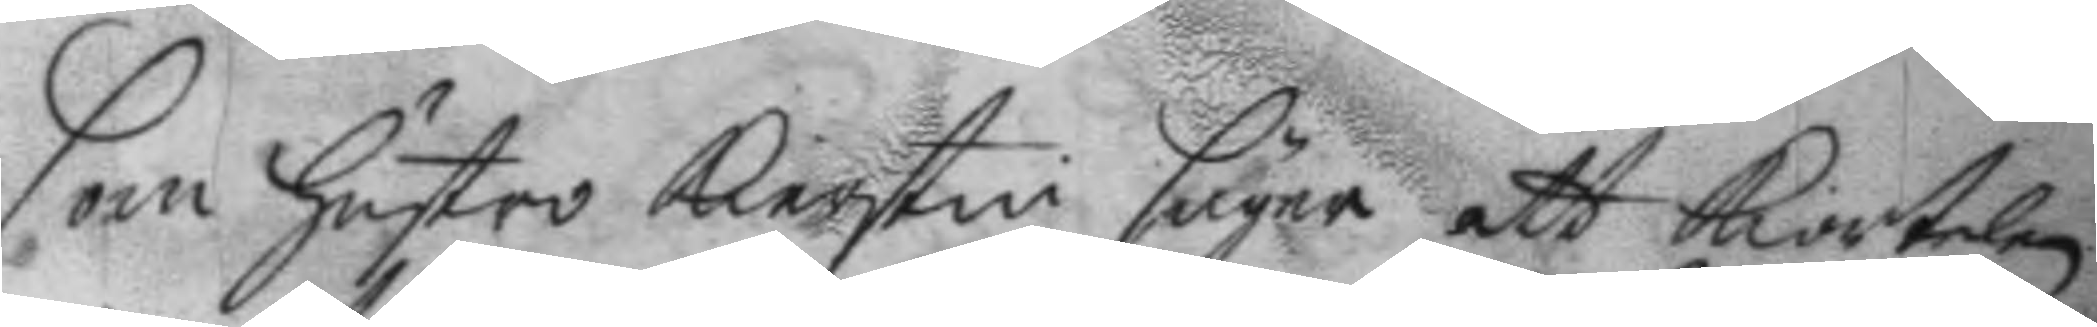som hustro Kierstin säger att kiortelen
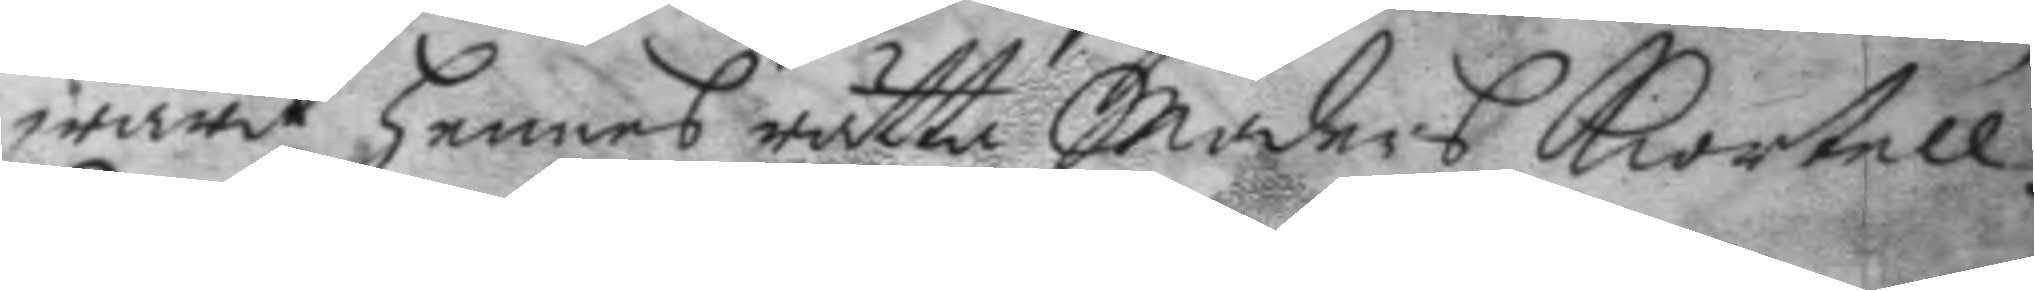warit hennes rätta Moders kiortell.
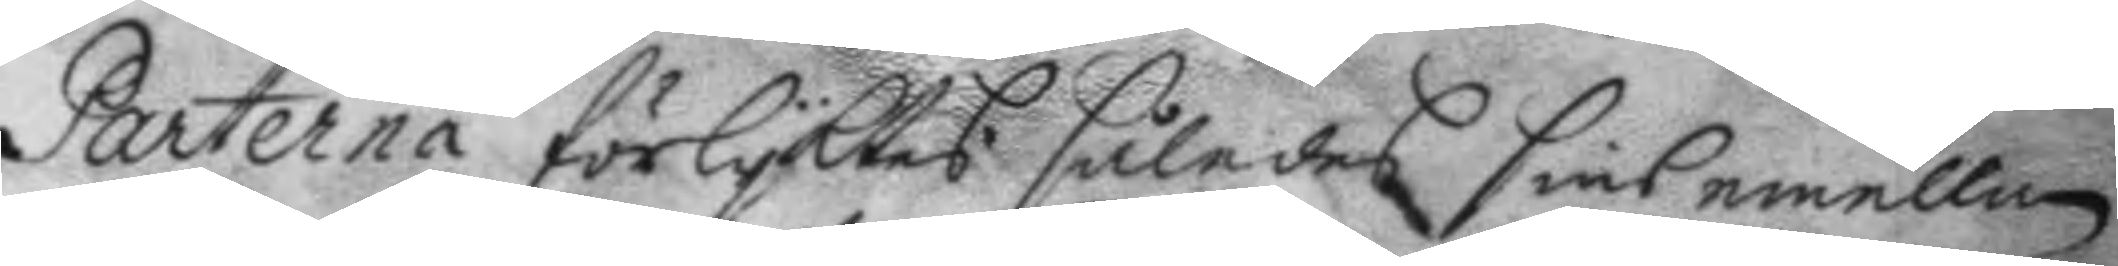Parterna förlyktes således sins emellan
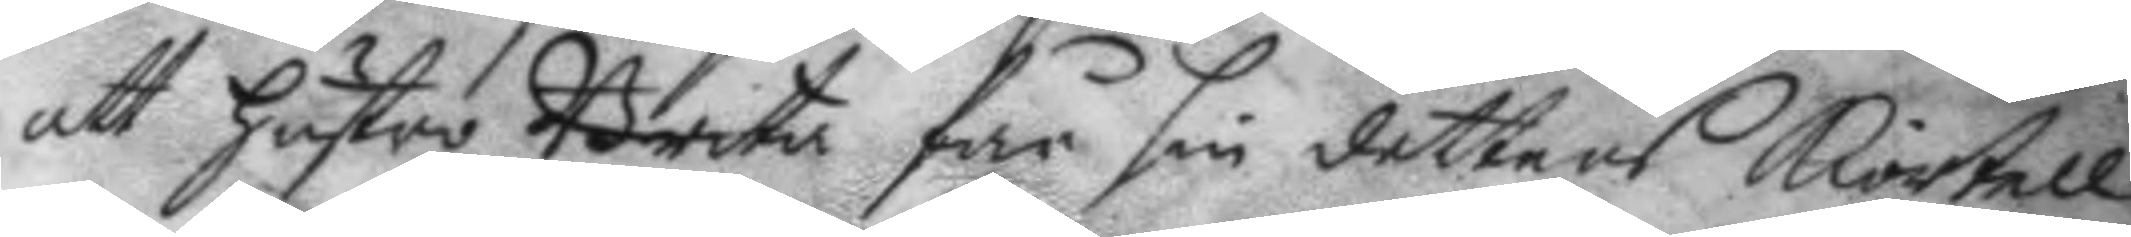att hustro Brita får sin dotters kiortell
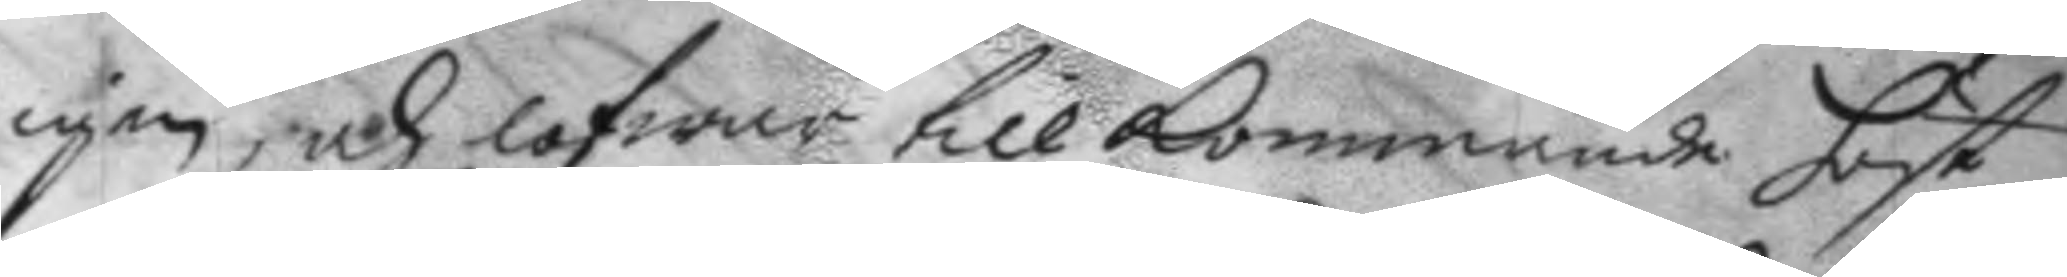igen, och lofwar till kommande höst
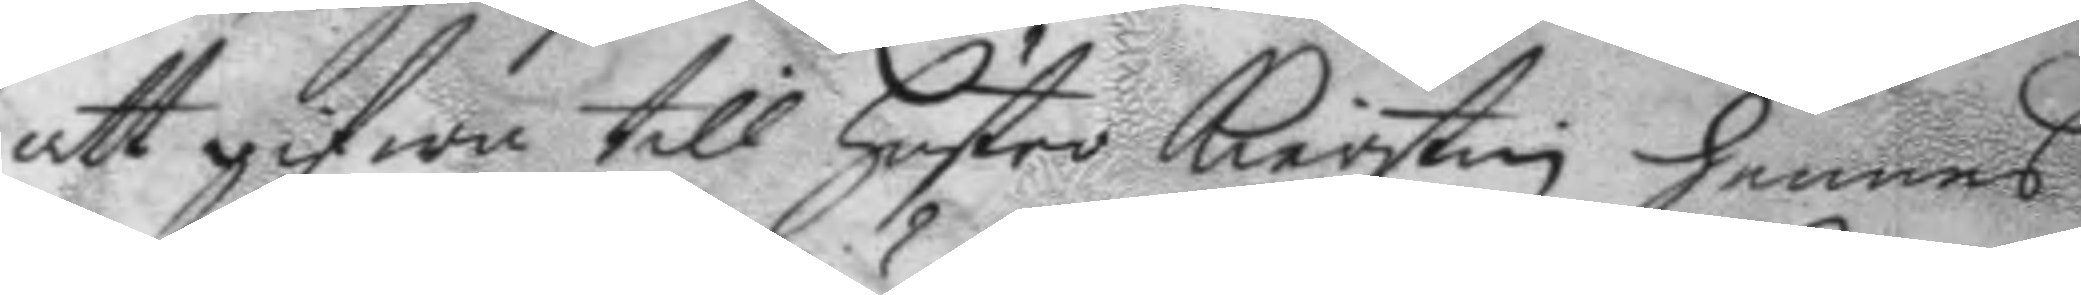att gifwa till hustro Kierstin hennes
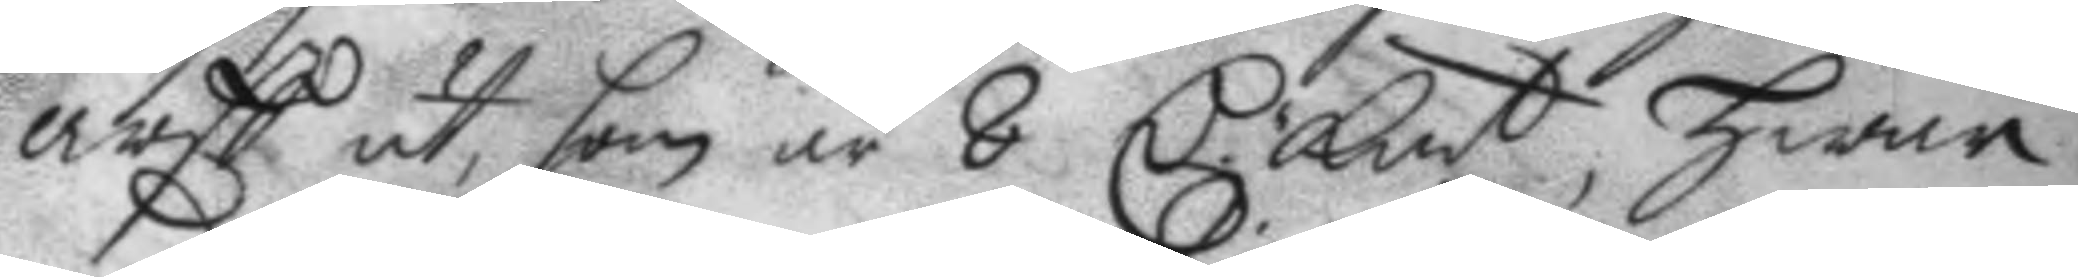arff ut, som är 8 C. Km.t hwar
